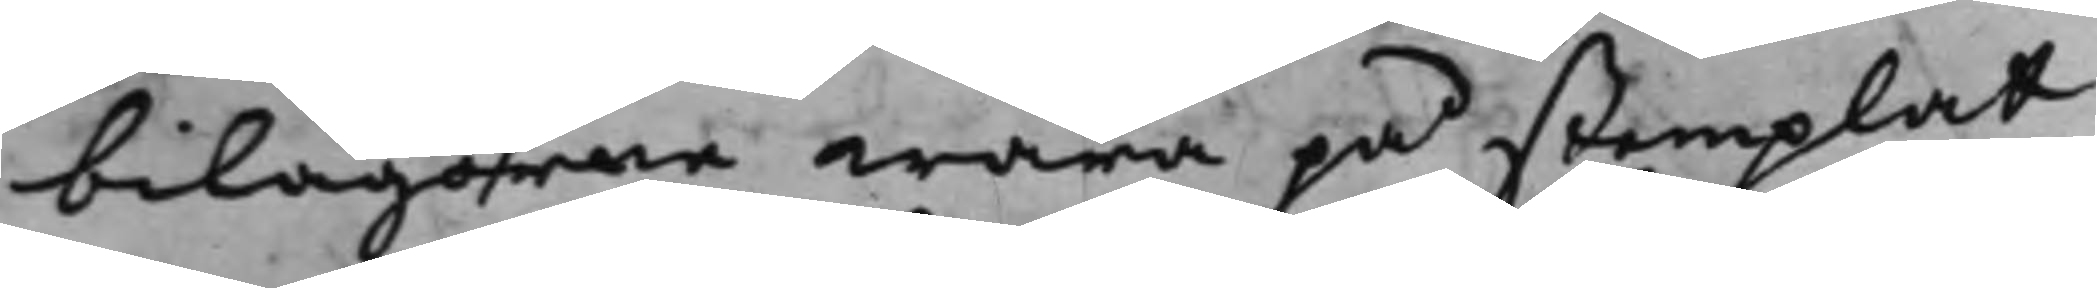bilagorne wara på stemplat
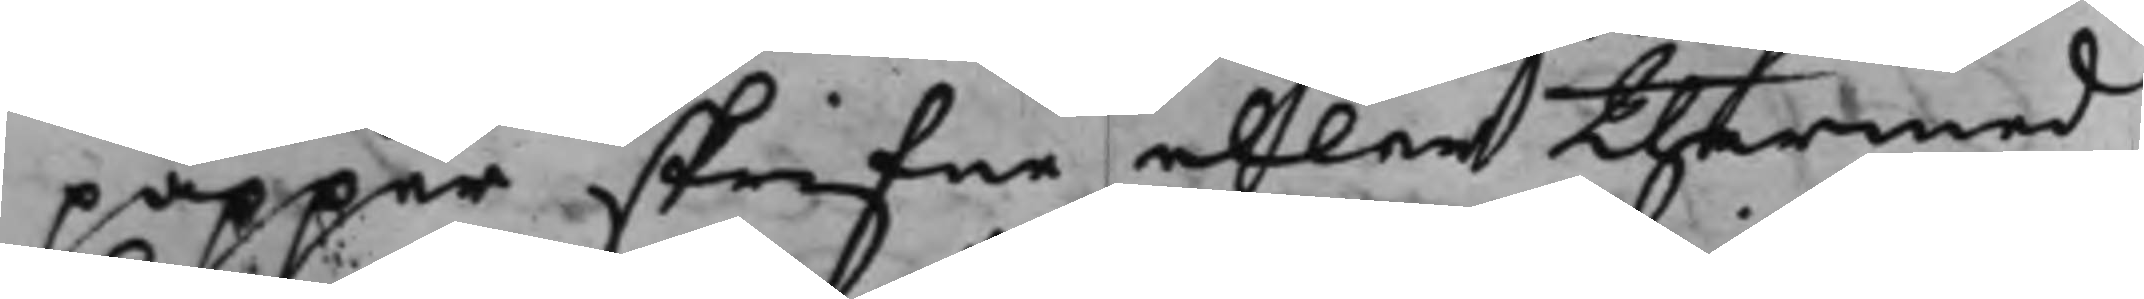papper skrifne eller thermed
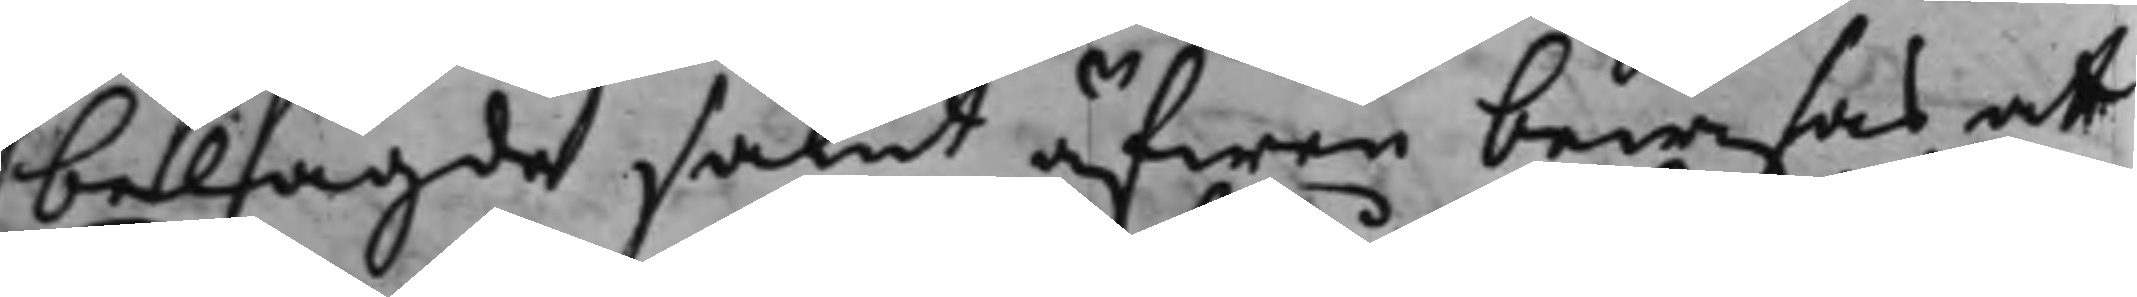belagde samt äfwen bewisas at
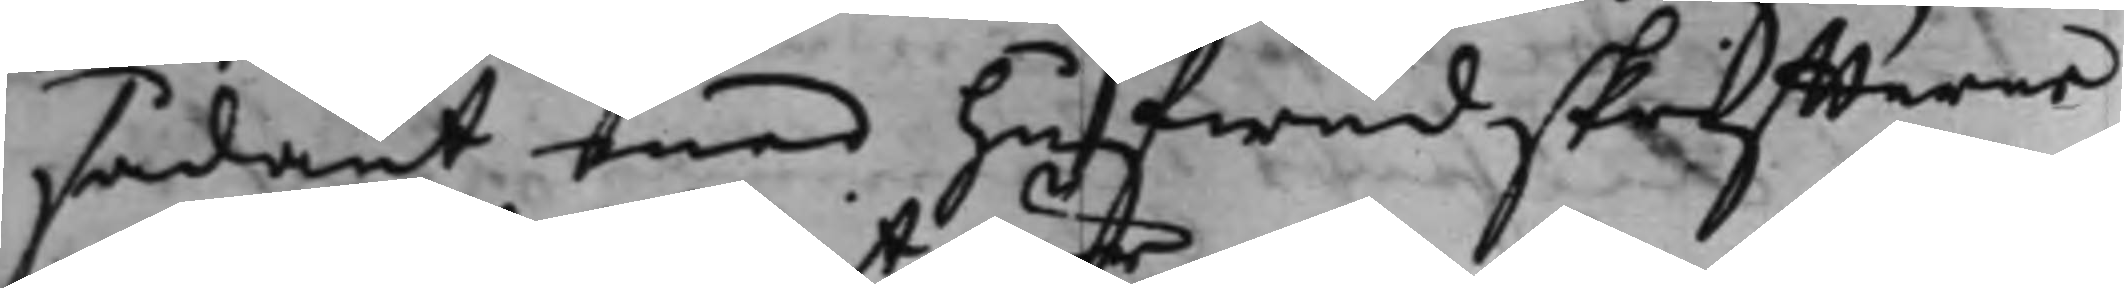sådant med hufwudskriffterne
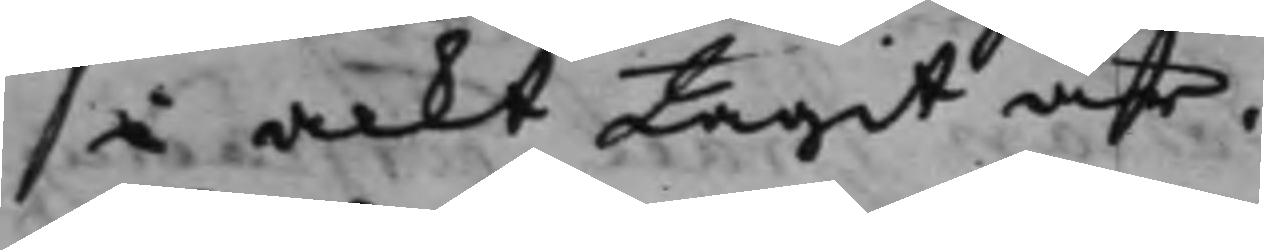i ackt tagit är.
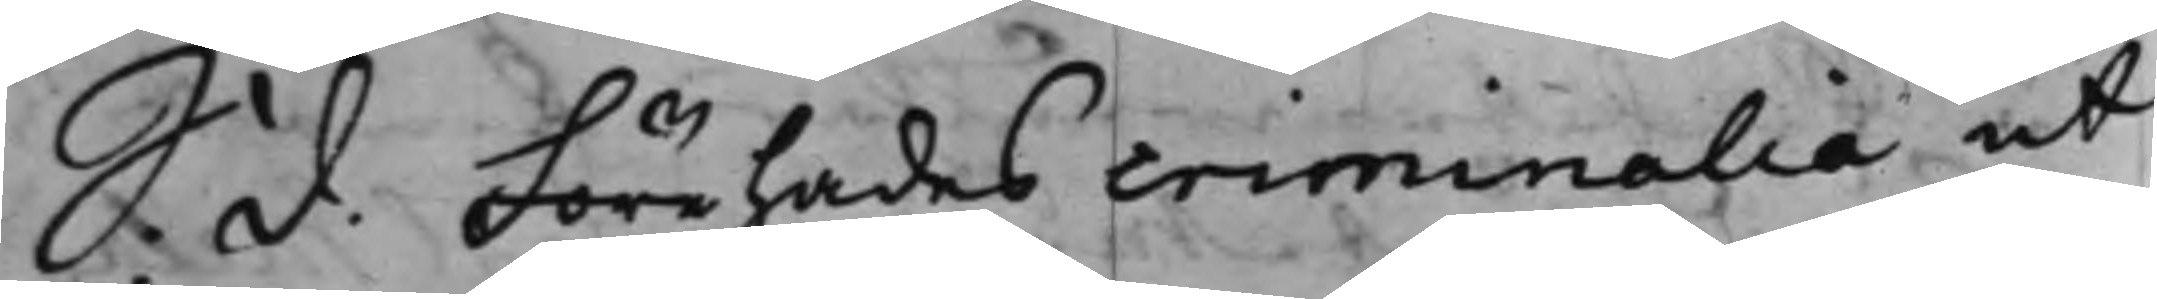S. d. Förehades criminalia ut
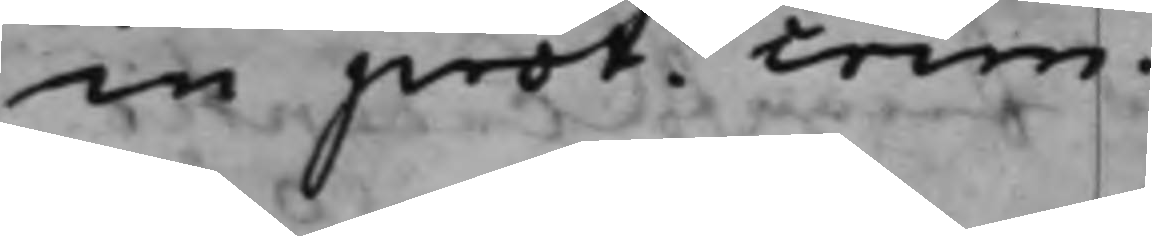in prot: crim.
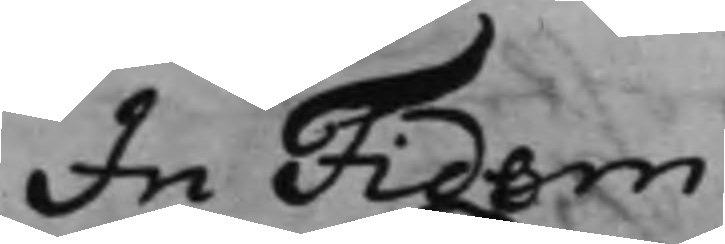In Fidem
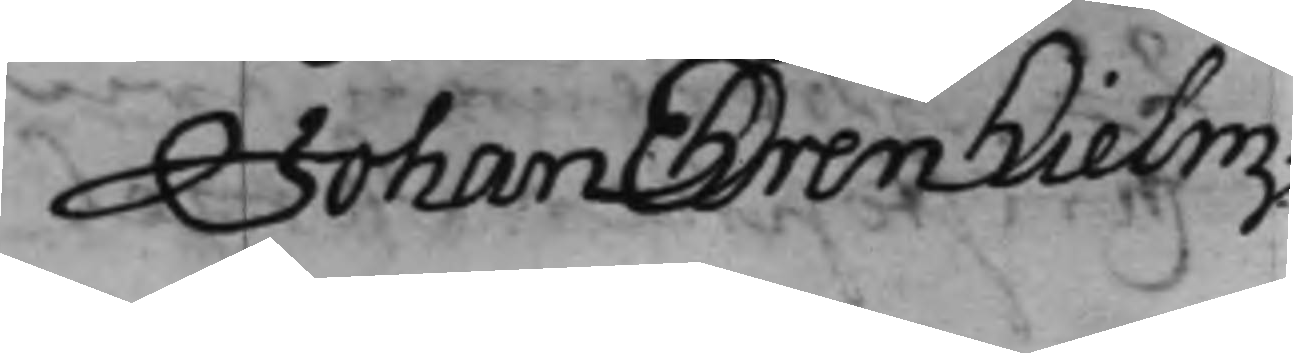Johan Ehrenhielm
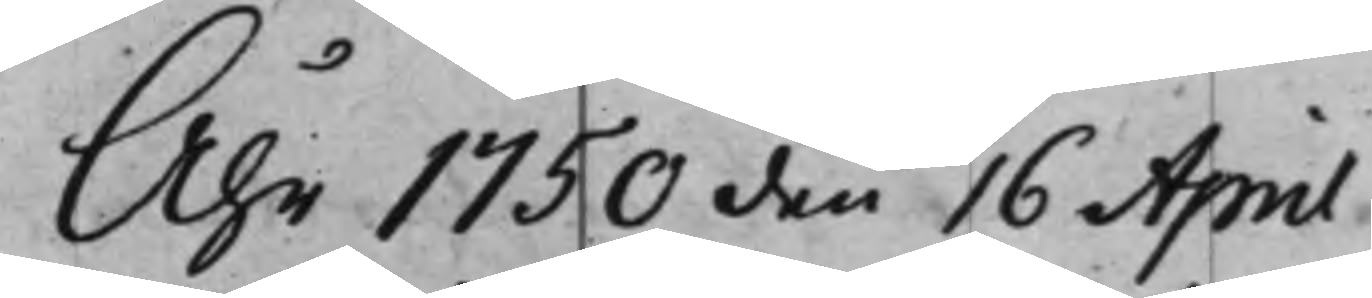Åhr 1750 den 16 April
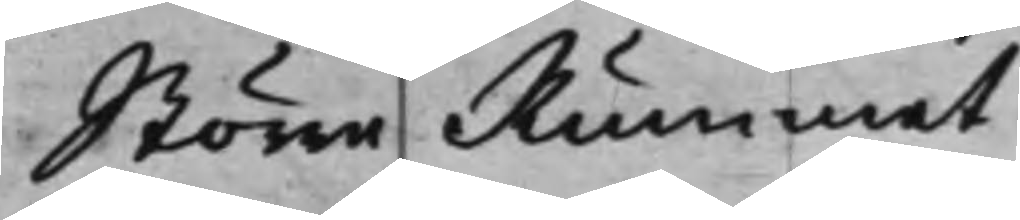Större Rummet
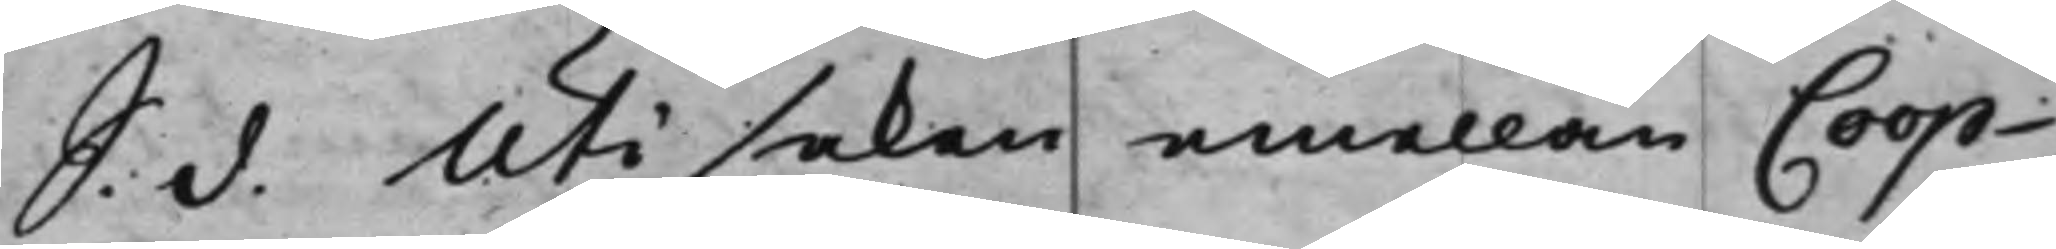S. d. Uti saken emellan Coop¬
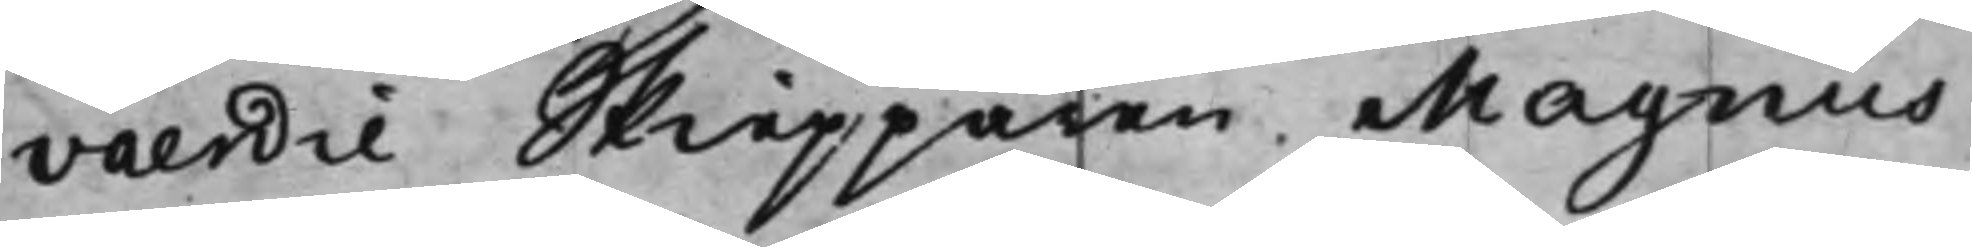vaerdie Skiepparen Magnus
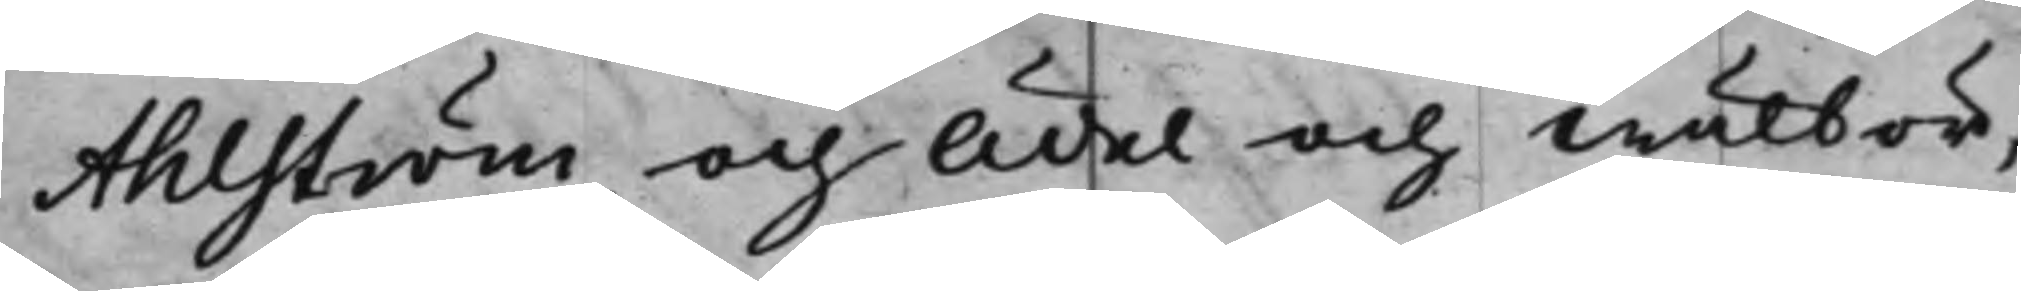Ahlström, och Ädel och Wälbör¬
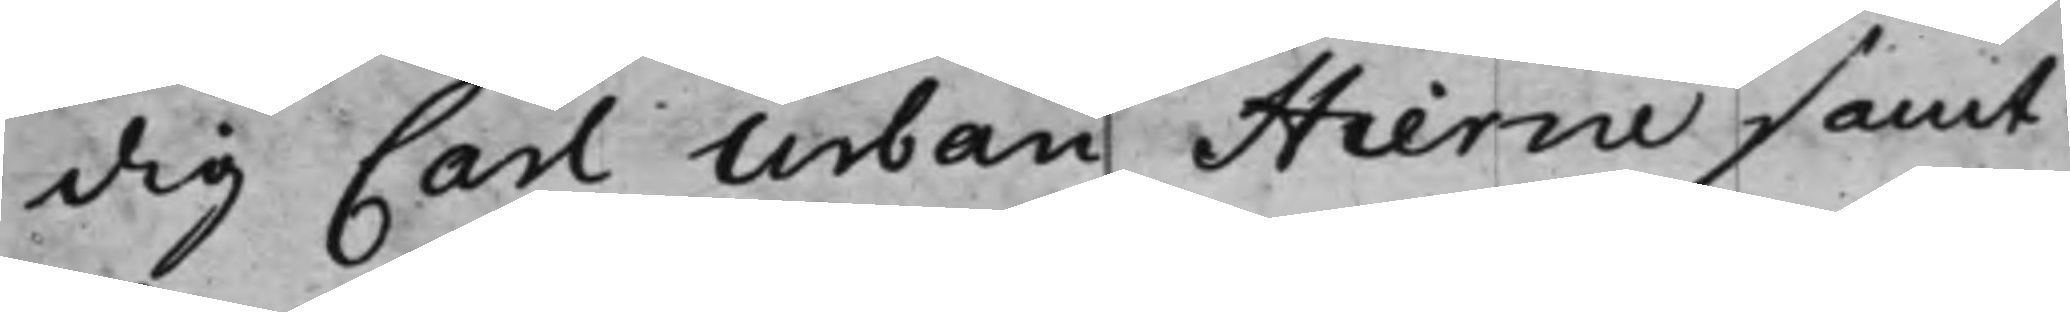dig Carl Urban Hierne samt
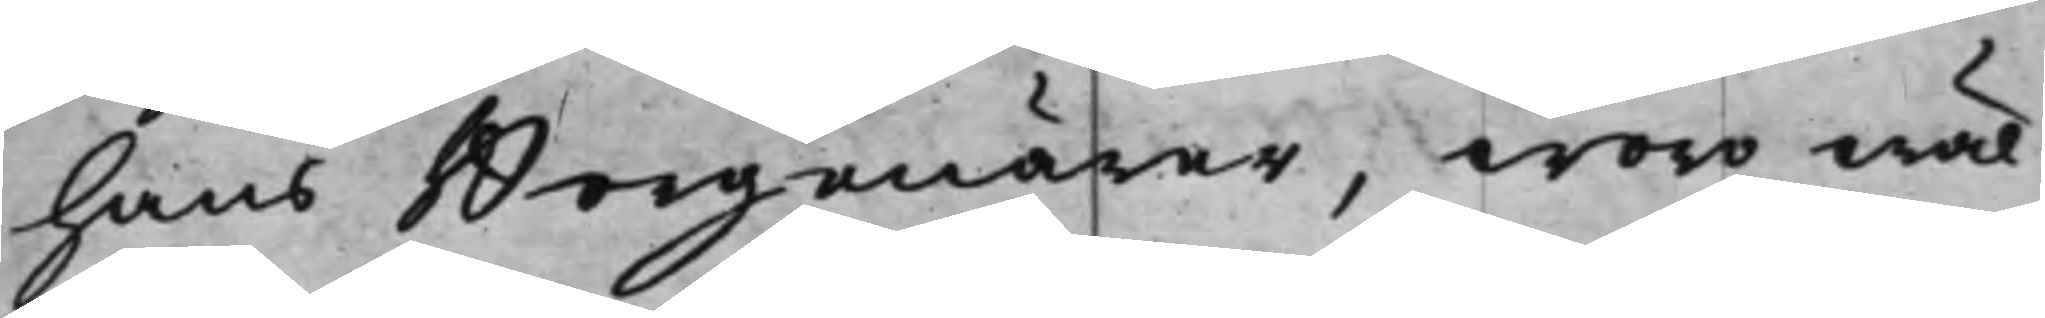hans Borgenärer, woro wäl¬
